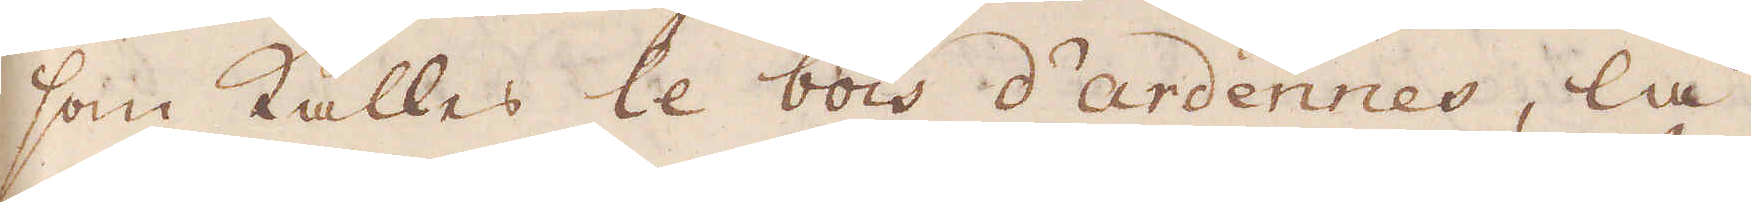som kallas le bois d'ardennes, lå-
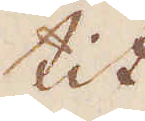tit
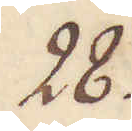28.
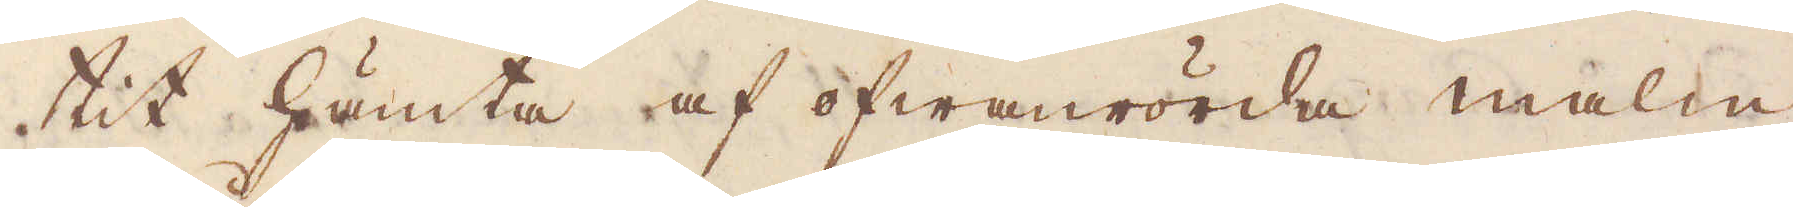tit hämta af ofwanrörda malm
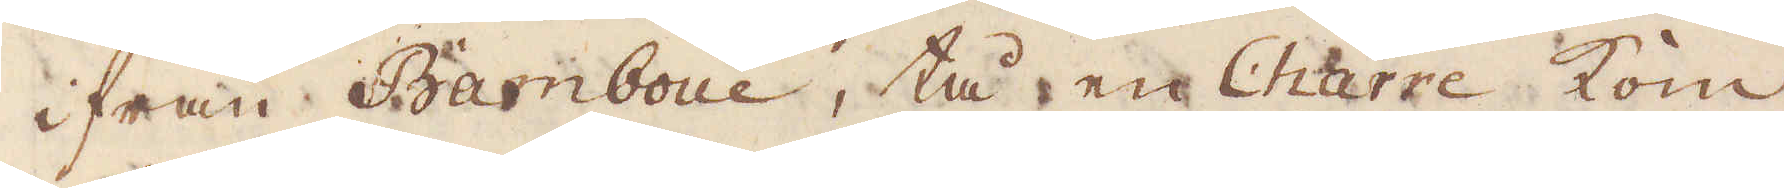ifrån Bamboue, tå en Charre kom
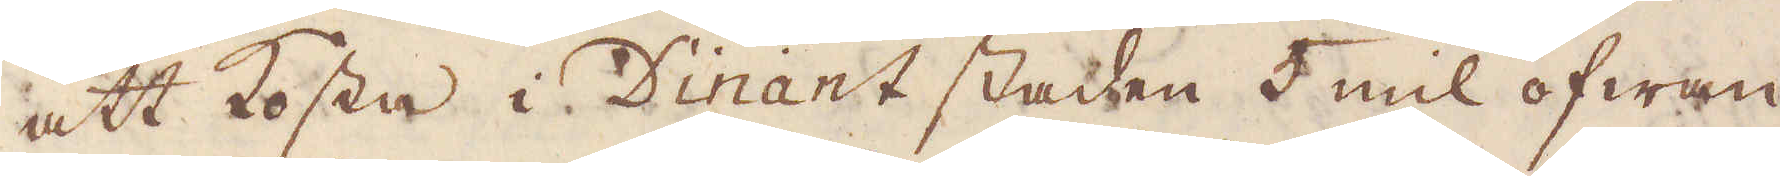att kosta i Dinant staden 5 mil ofwan
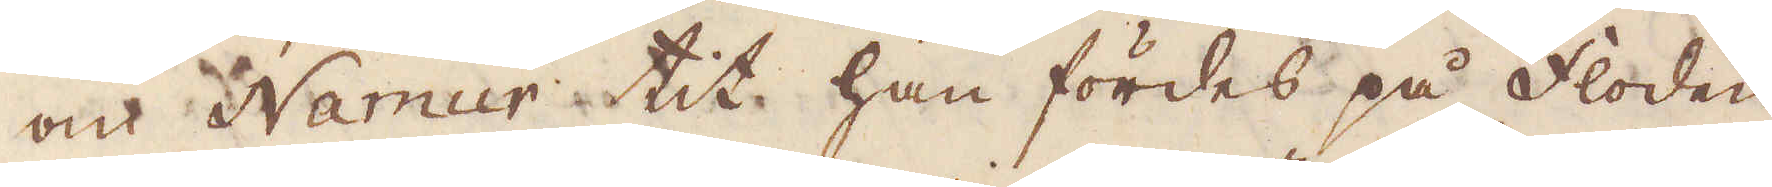om Namur tit han fördes på floden
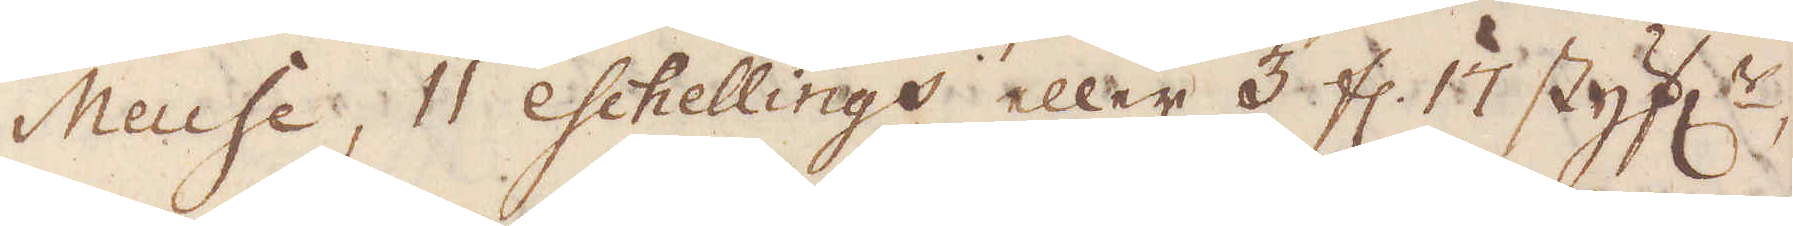Meuse, 11 eschellings eller 3 fl. 17 styph:r,
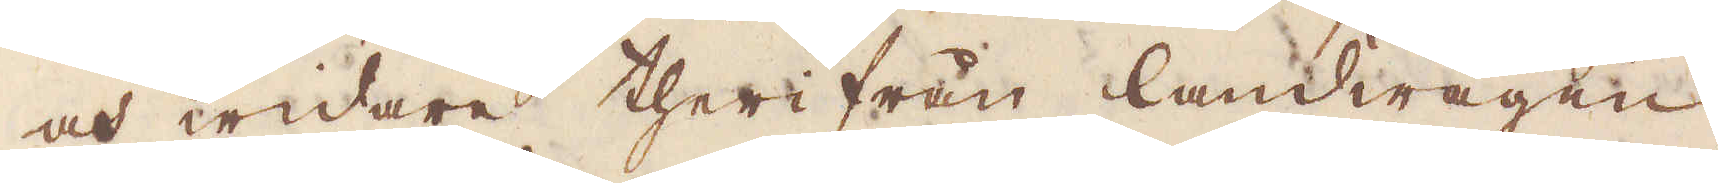och widare therifrån landwägen
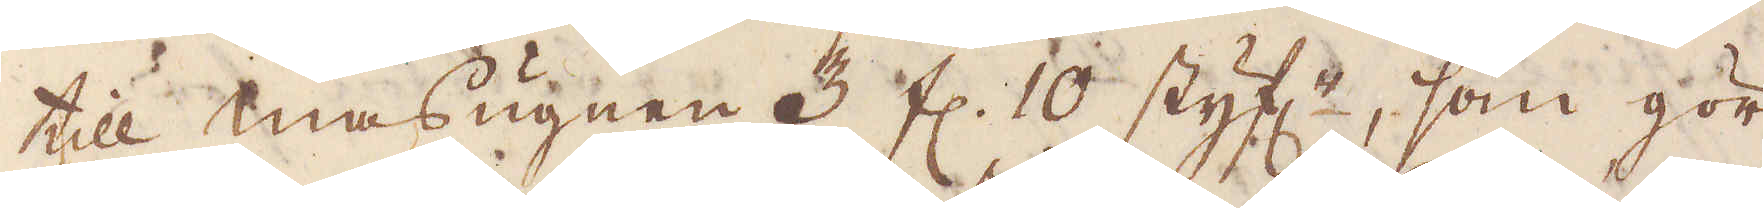till masugnen 3 fl. 10 styf:r, som gör
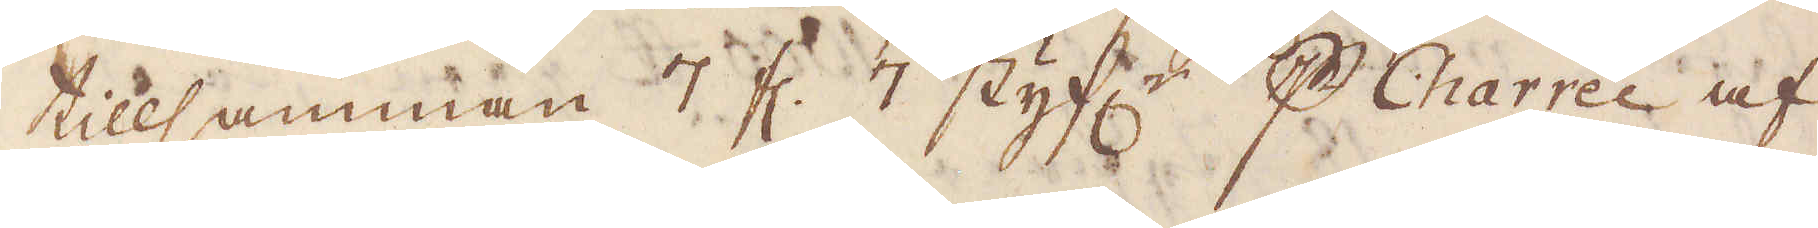tillsamman 7 fl. 7 styf:r p Charrée af
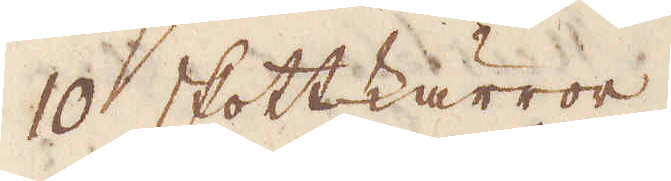10 skottkärror.
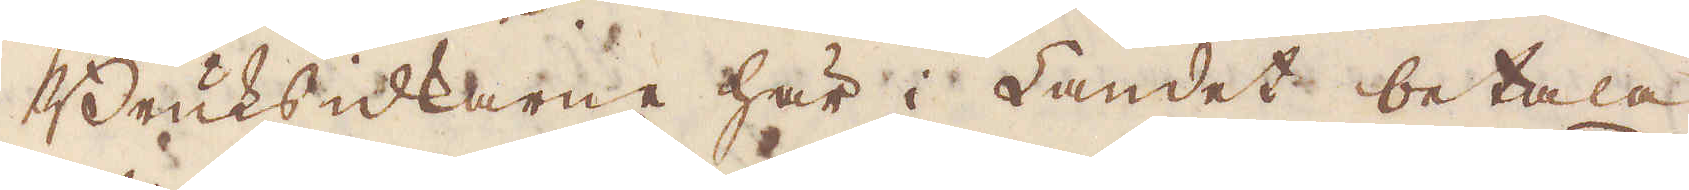Bruksidkarna här i Landet betala
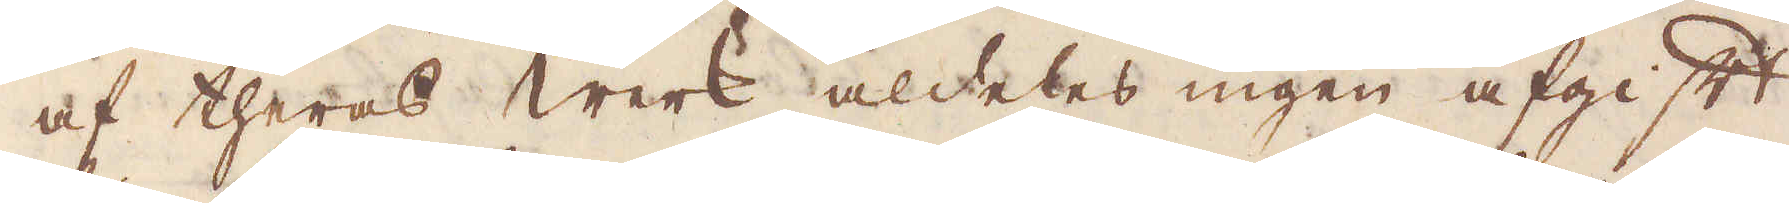af theras werk aldeles ingen afgift
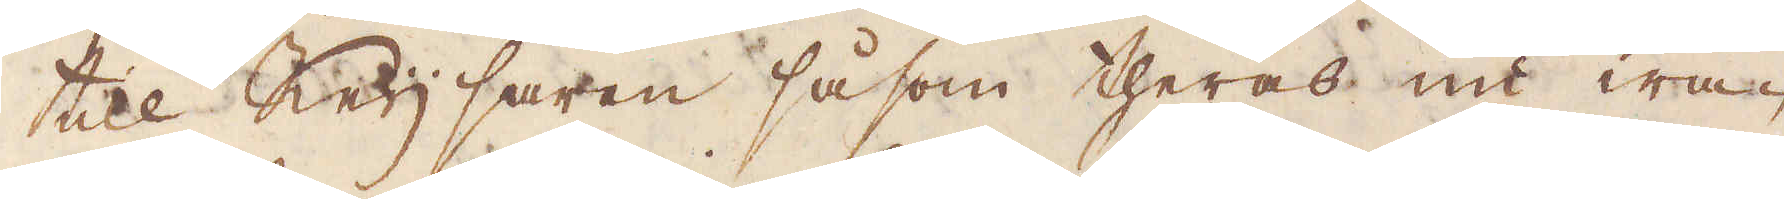till Keijsaren såsom theras nu wa-
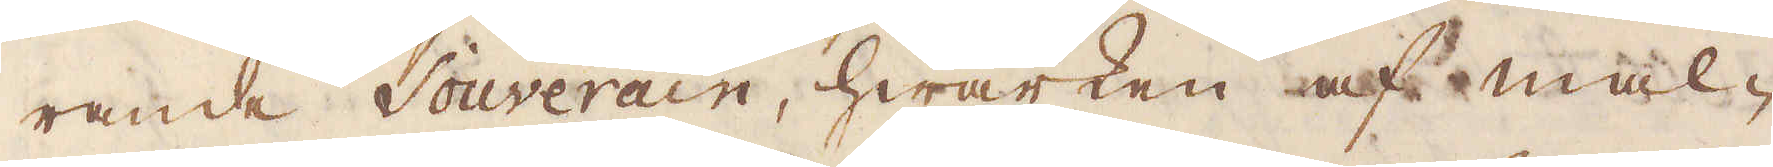rande Souverain, hwarken af mal-
